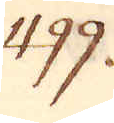499.
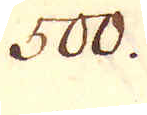500.
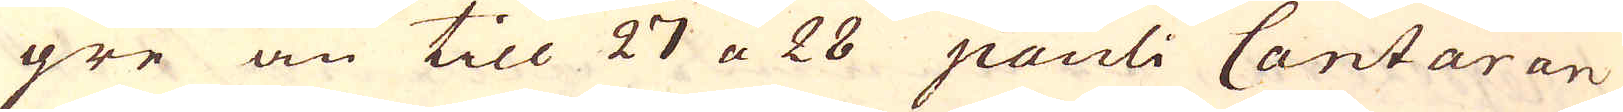gre än till 27 a 28 pauli Cantaran
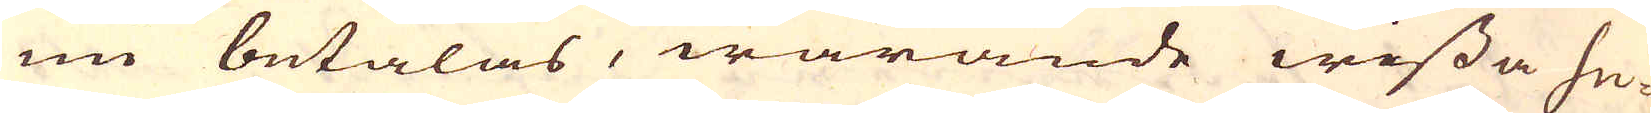nu betalas, warande wissa he-
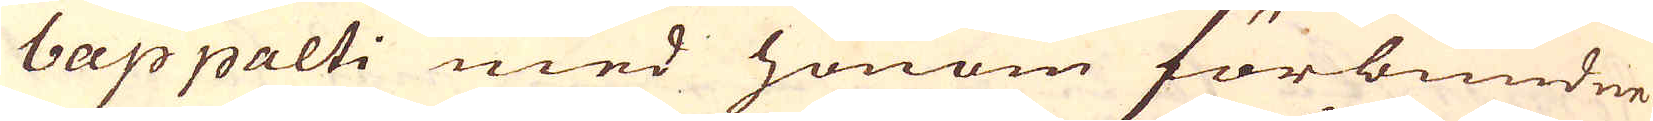bappalti med honom förbundne
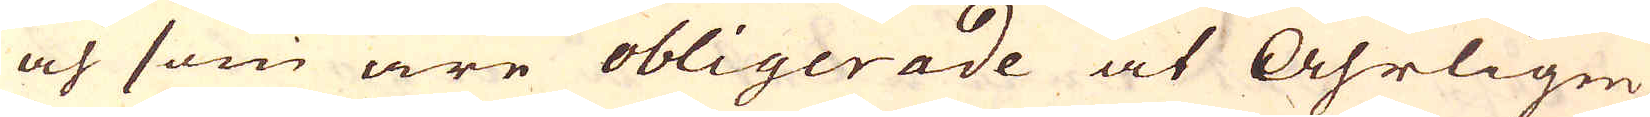och som äre obligerade at Åhrligen
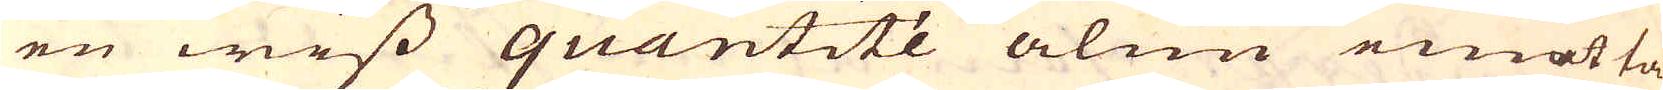en wiss quantité alun emotta-
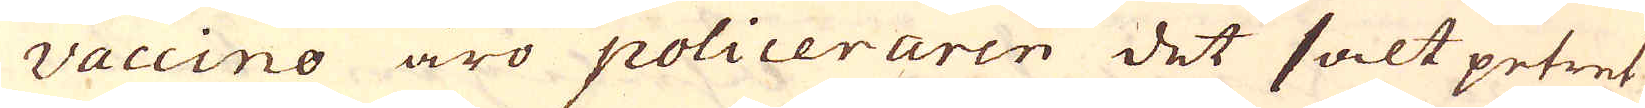Vaccino äro policeraren det salt petret
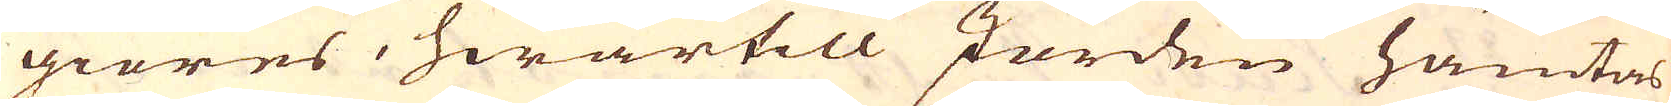giöres, hwartill Jorden hämtas
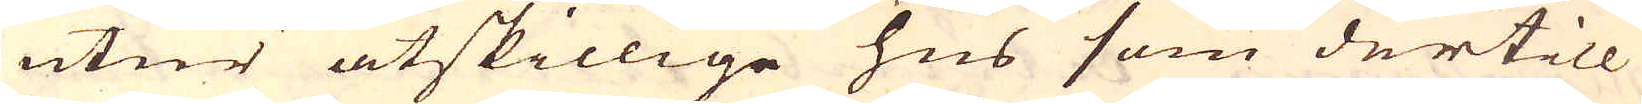utur åtskiilige hus som dertill
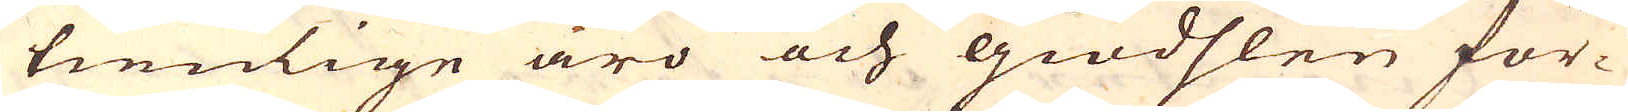tienlige äro och giödslen för-
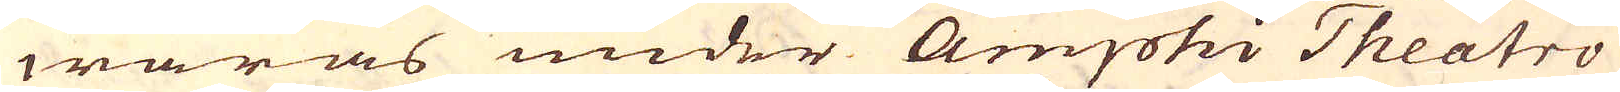waras under Amphi Theatro
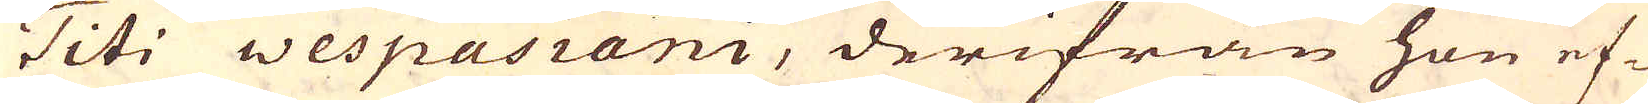Titi Wespasiani, derifrån hon ef-
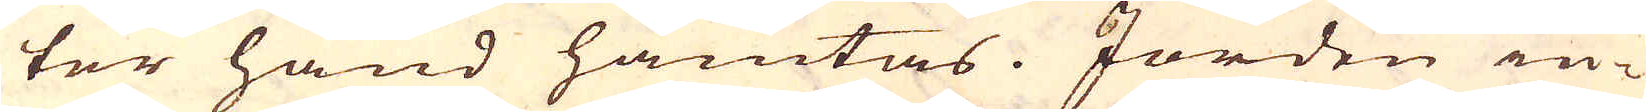ter hand hämtas. Jorden in-
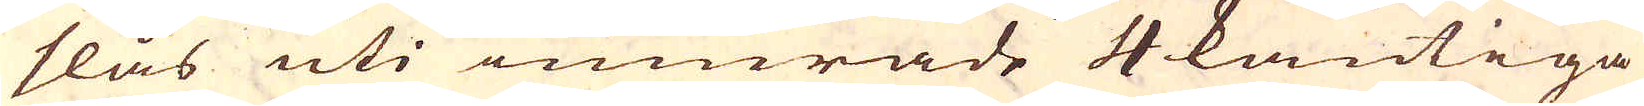slås uti omurade 4 kantiga
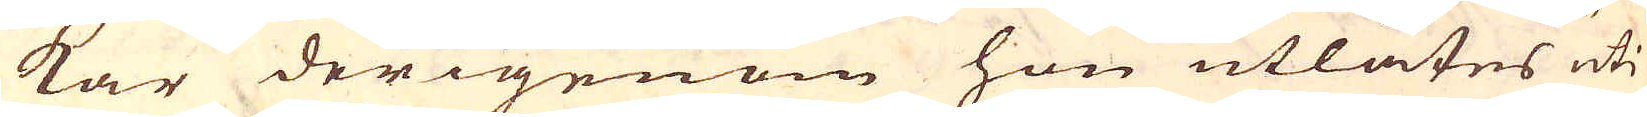kar derigenom hon utlåtes uti
